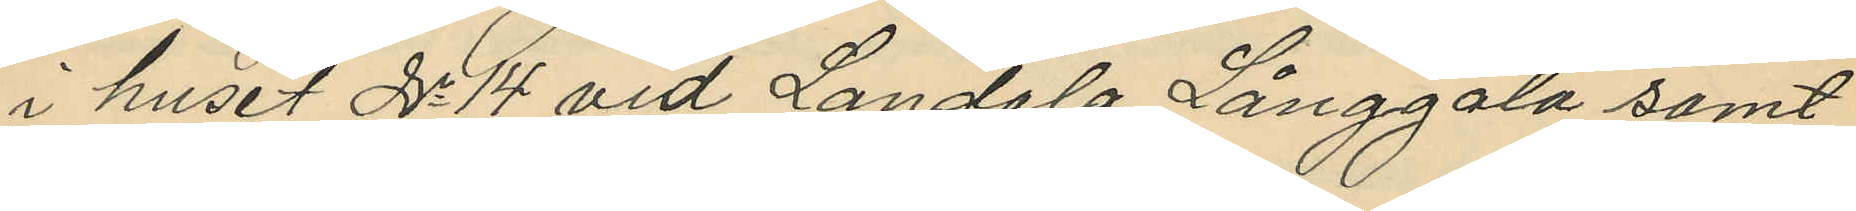i huset No 14 vid Landala Långgata samt
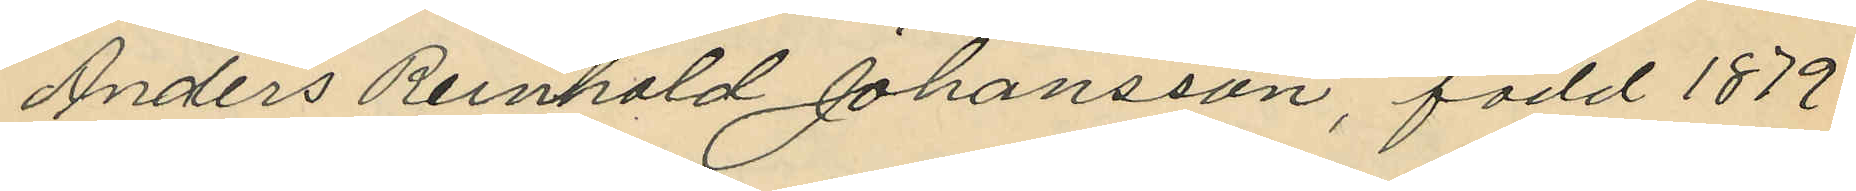Anders Renhold Johansson, född 1879
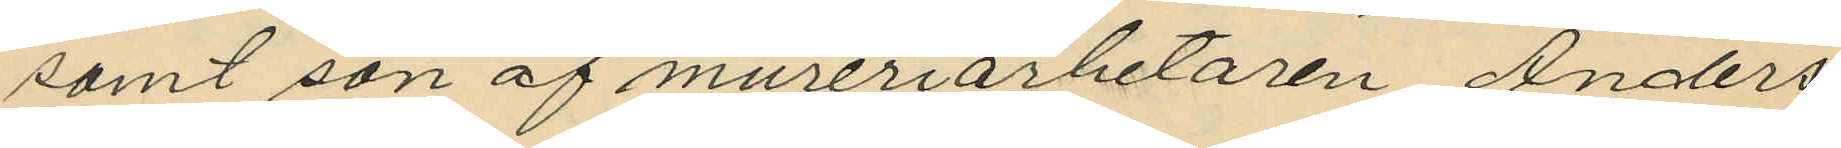samt son af mureriarbetaren Anders
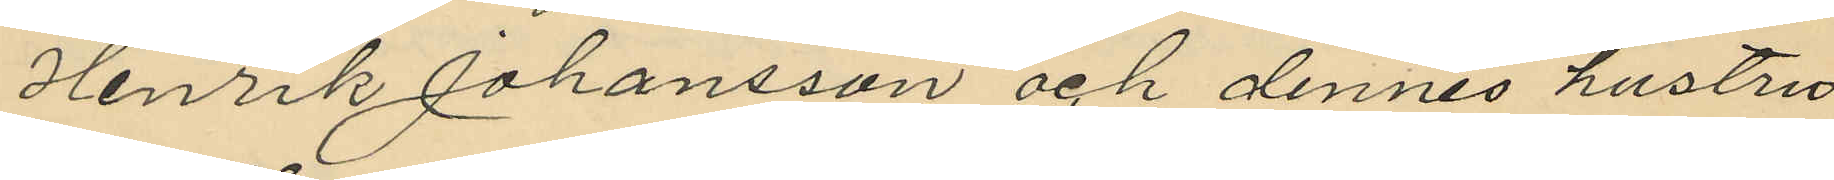Henrik Johansson och dennes hustru
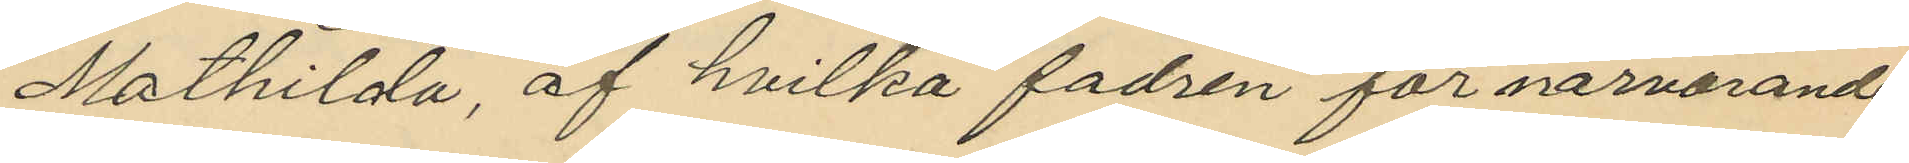Mathilda, af hvilka fadren för närvarande
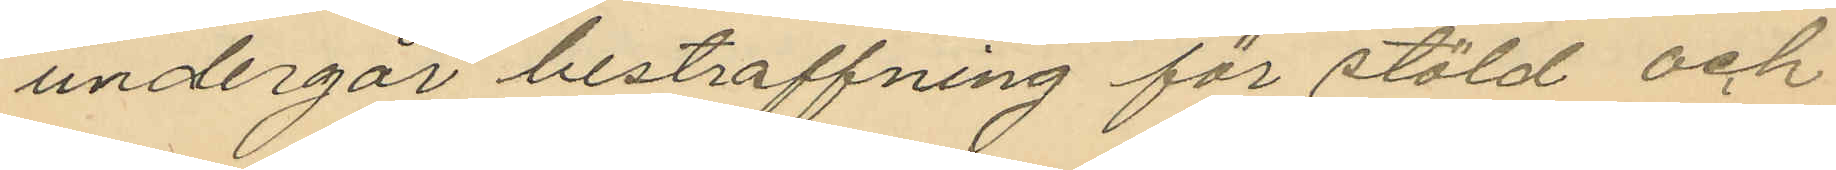undergår bestraffning för stöld och
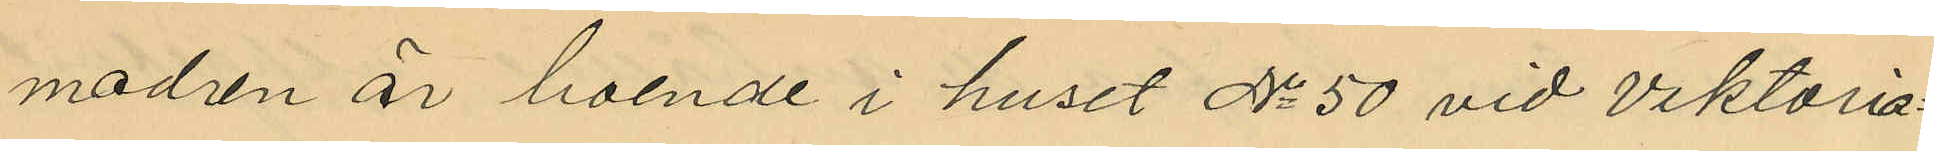modren är boende i huset No 50 vid Viktoria¬
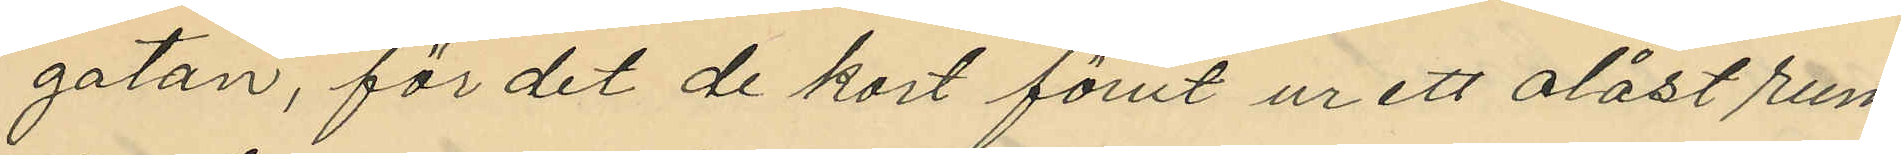gatan, för det de kort förut ur ett olåst rum
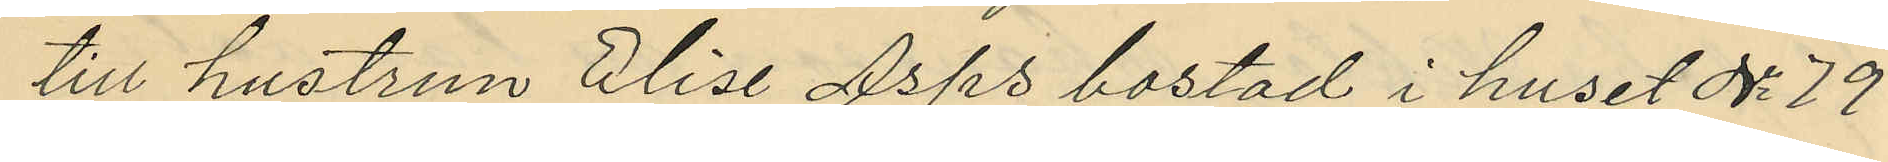till hustrun Elise Asps bostad i huset No 79
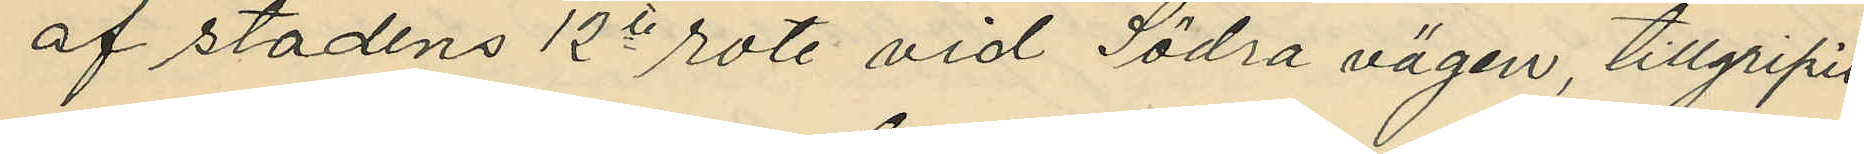af stadens 12e rote vid Södra vägen, tillgripit
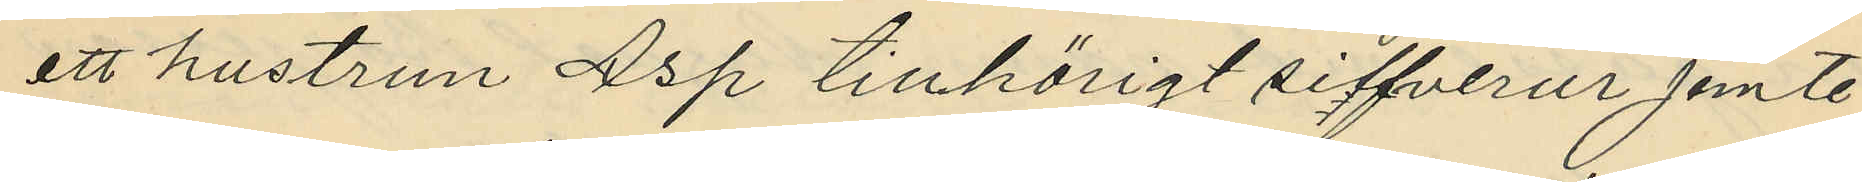att hustrun Asp tillhörigt silfverur jemte
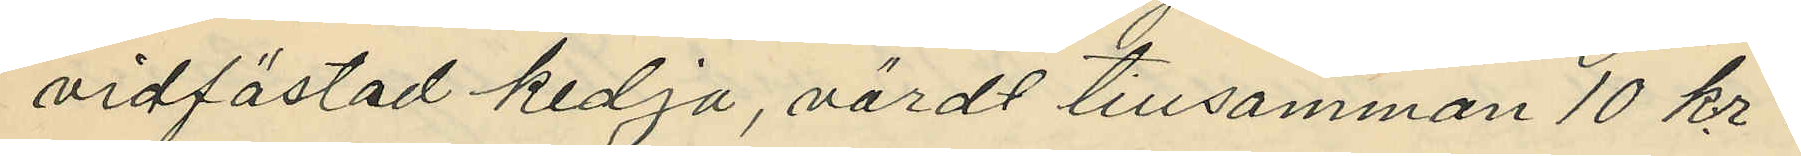vidfästad kedja, värdt tillsamman 10 kr.
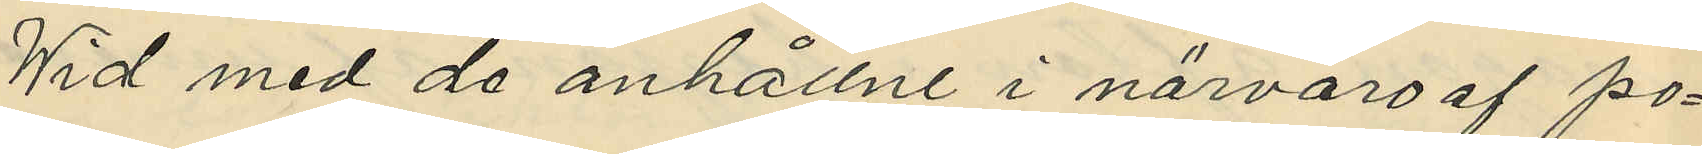Wid med de anhållne i närvaro af po¬
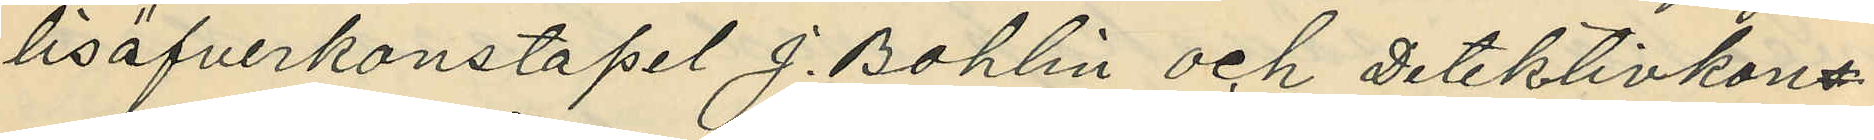lisöfverkonstapel J. Bohlin och Detektivkons¬
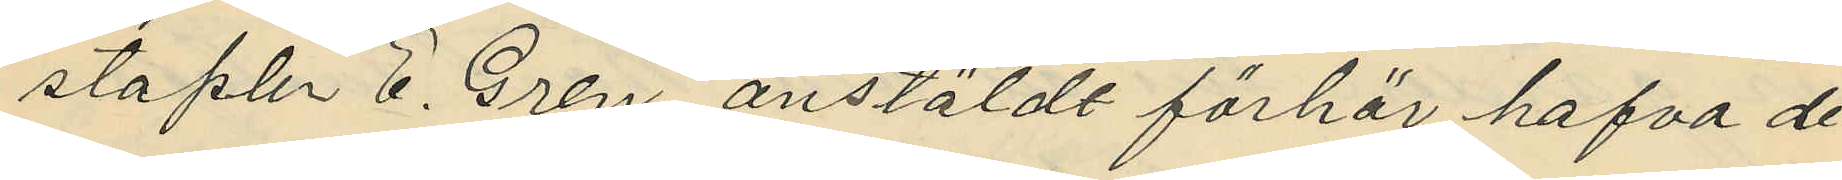staplar E. Gren anstäldt förhör hafva de
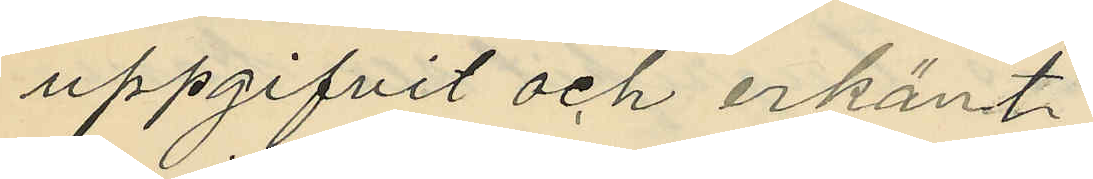uppgifvit och erkänt:
